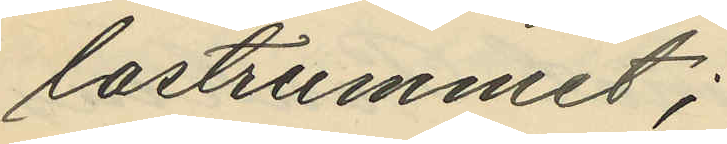lastrummet;
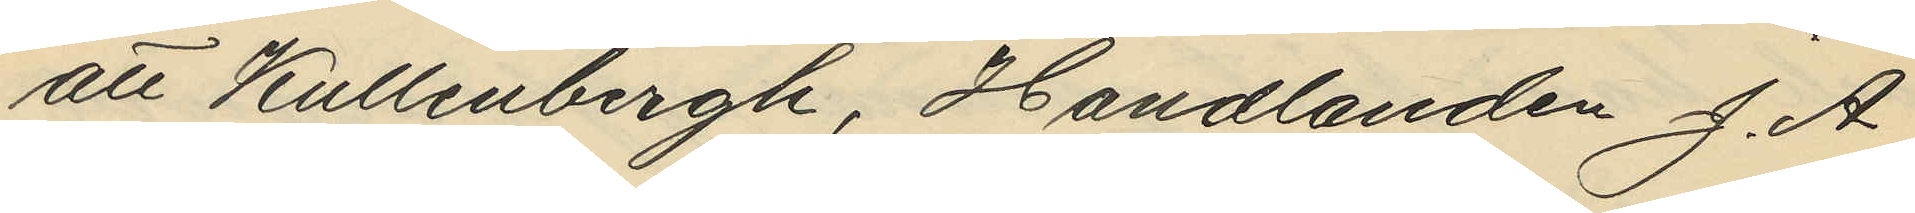att Kullenbergh, Handlanden J. A.
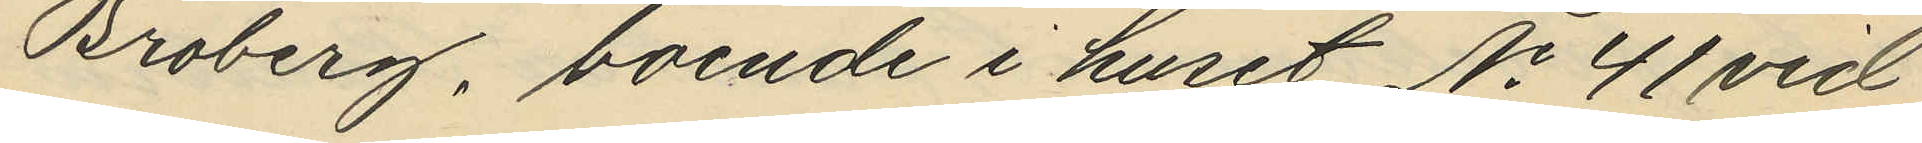Broberg, boende i huset No 41 vid
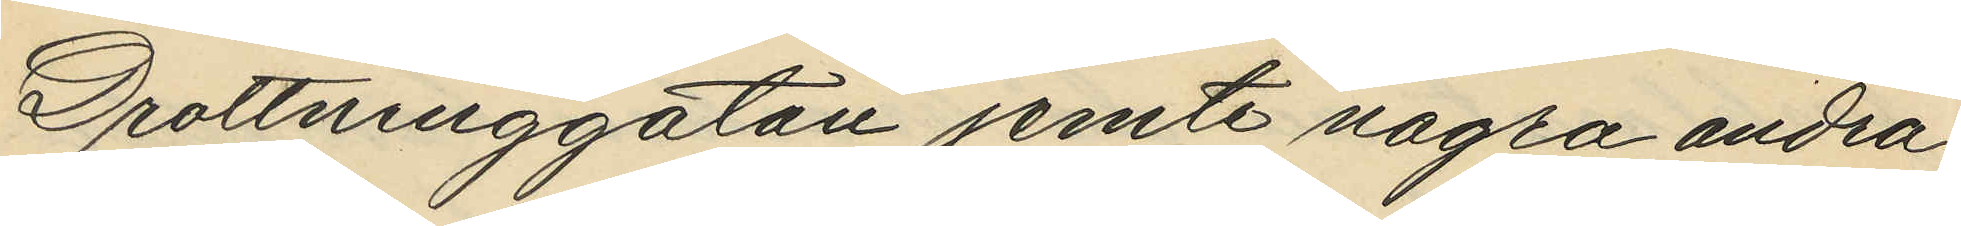Drottninggatan jemte några andra
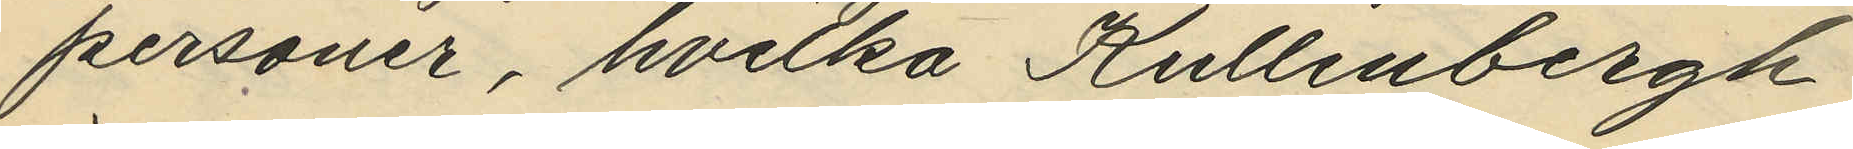personer, hvilka Kullenbergh
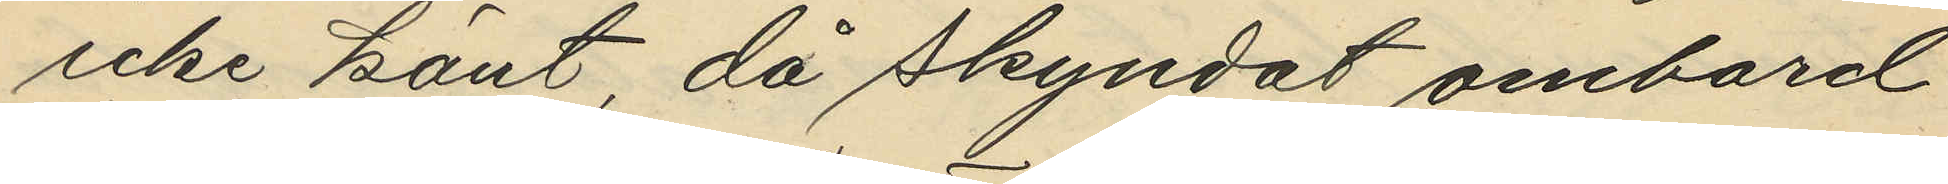icke känt, då skyndat ombord
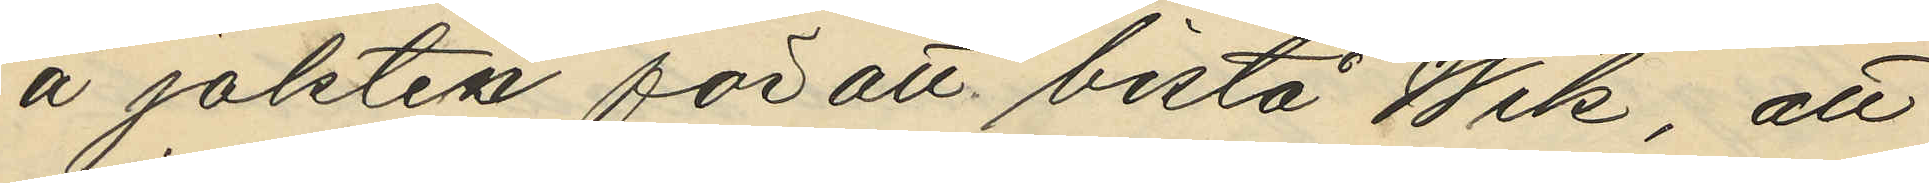å jakten för att bistå Wik, att
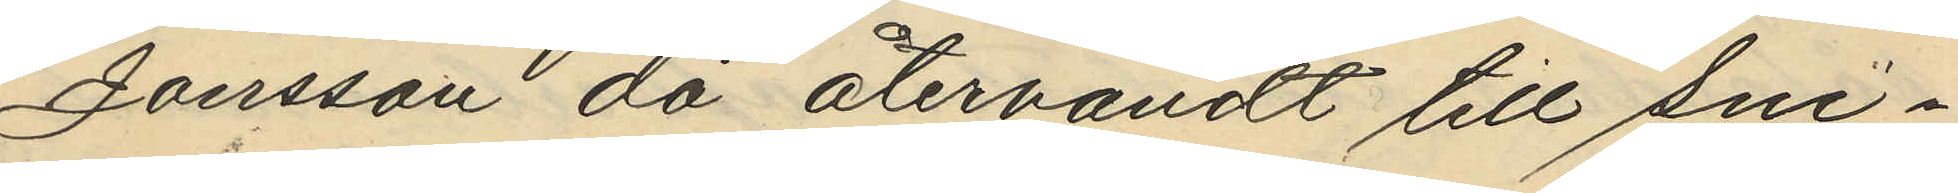Jonsson då återvändt till sni¬
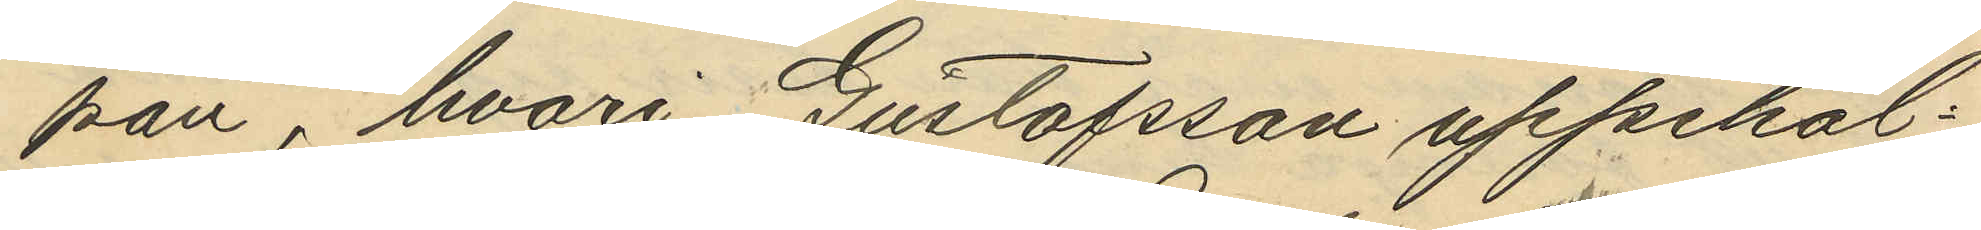pan, hvari Gustafsson uppehål¬
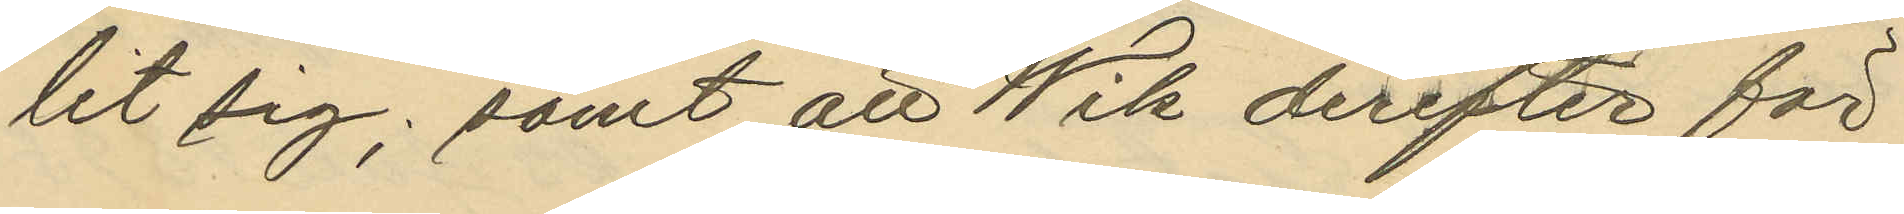lit sig; samt att Wik derefter för
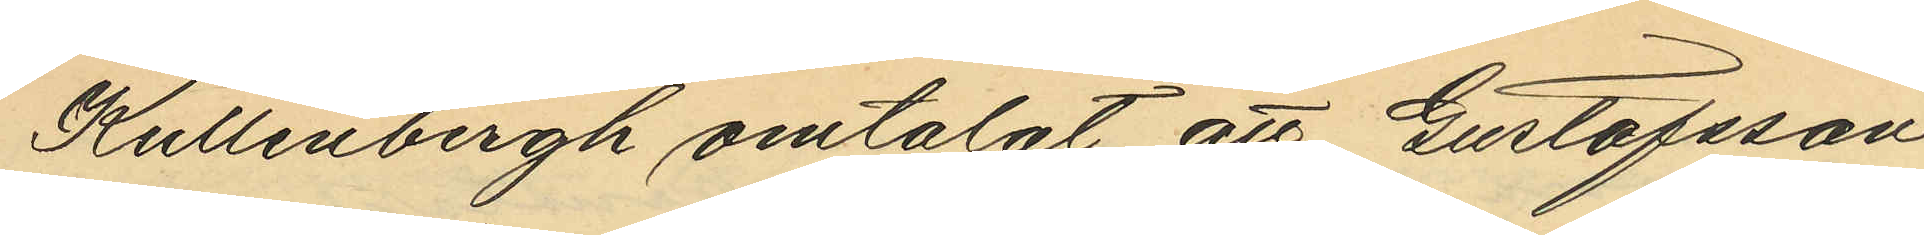Kullenbergh omtalat att Gustafsson
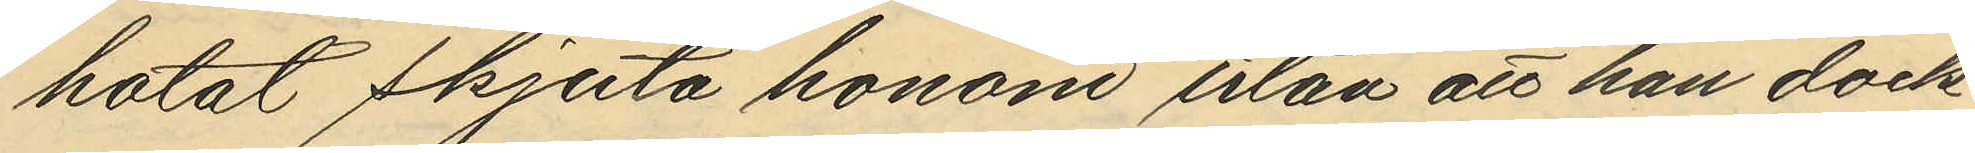hotat skjuta honom utan att han dock
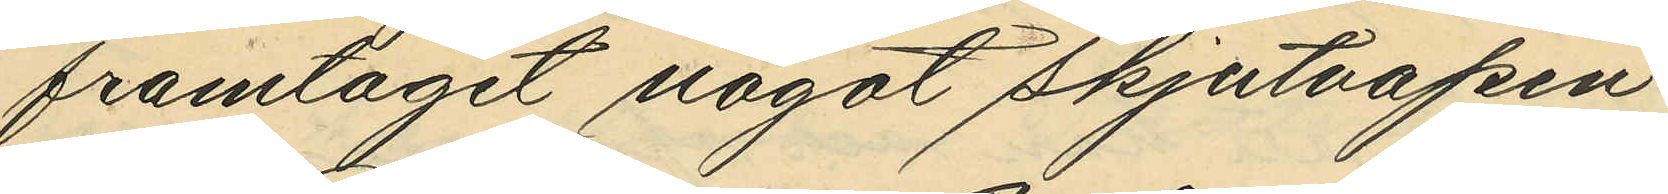framtagit något skjutvapen.
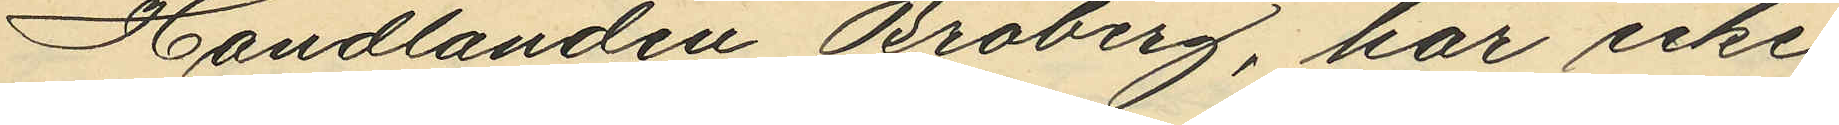Handlanden Broberg, har icke
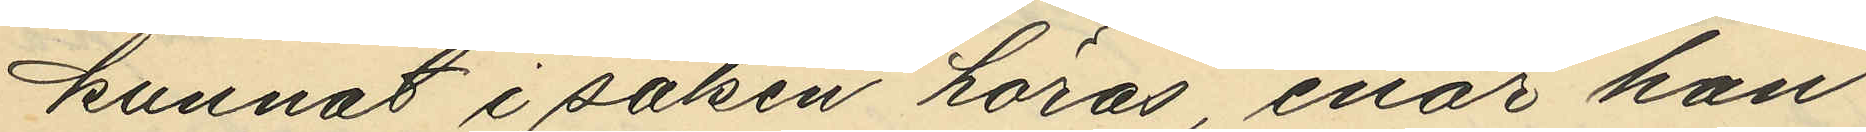kunnat i saken höras, enär han
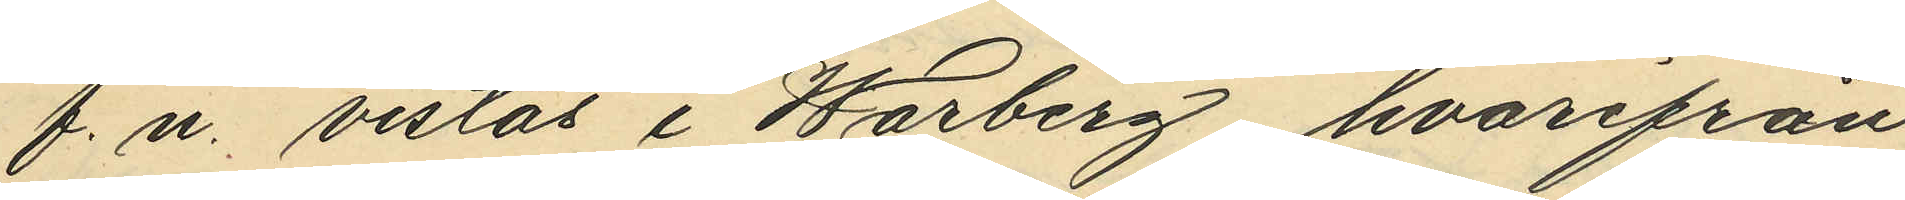f. n. vistas i Warberg, hvarifrån
